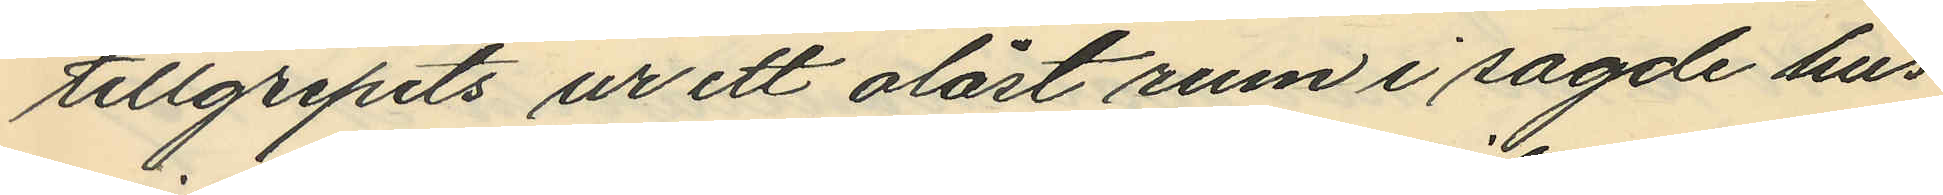tillgripits ur ett olåst rum i sagde hus
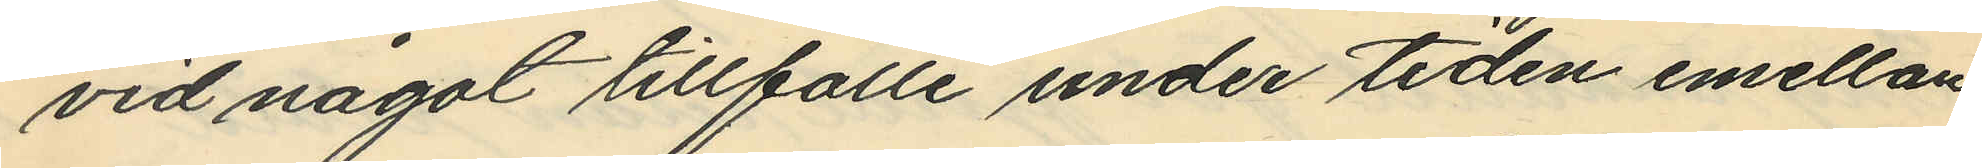vid något tillfälle under tiden emellan
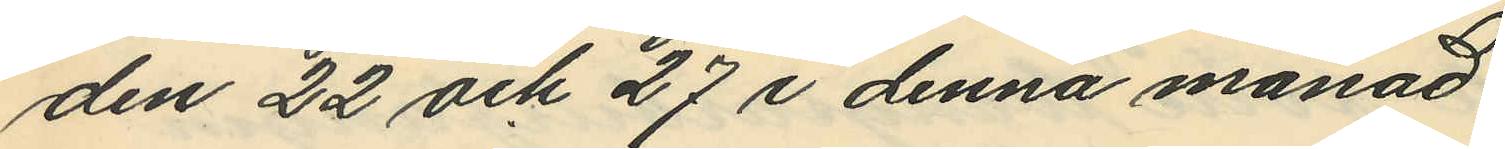den 22 och 27 i denna månad.
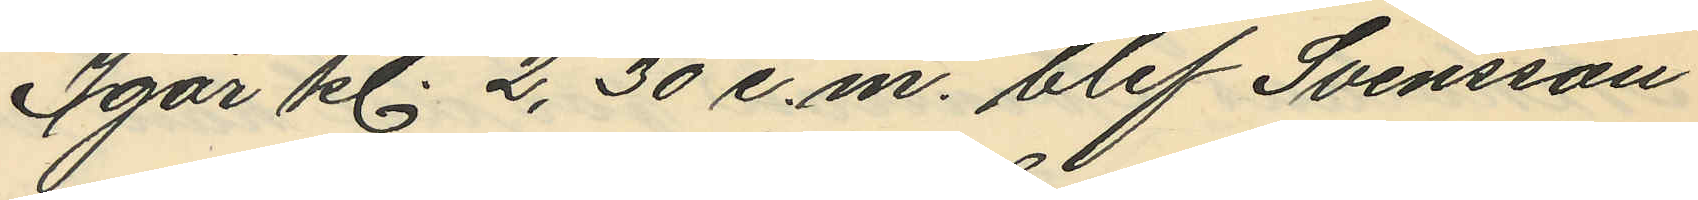Igår kl. 2,30 e.m. blef Svensson
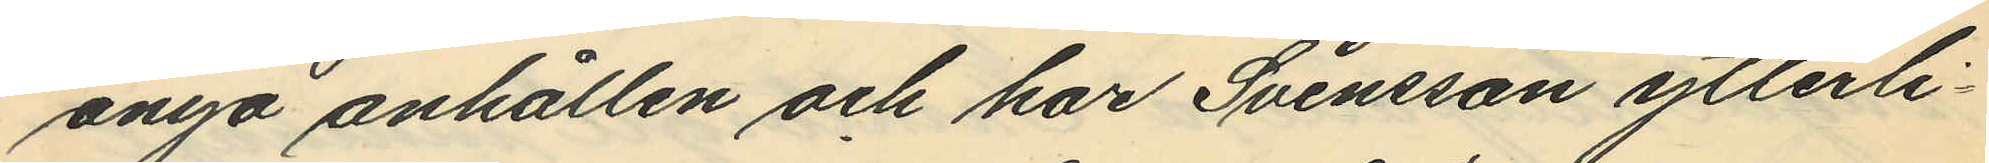ånyo anhållen och har Svensson ytterli¬
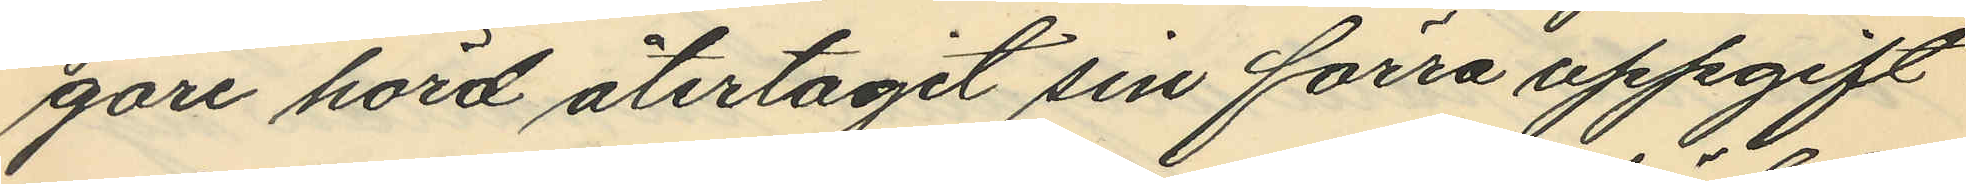gare hörd återtagit sin förra uppgift
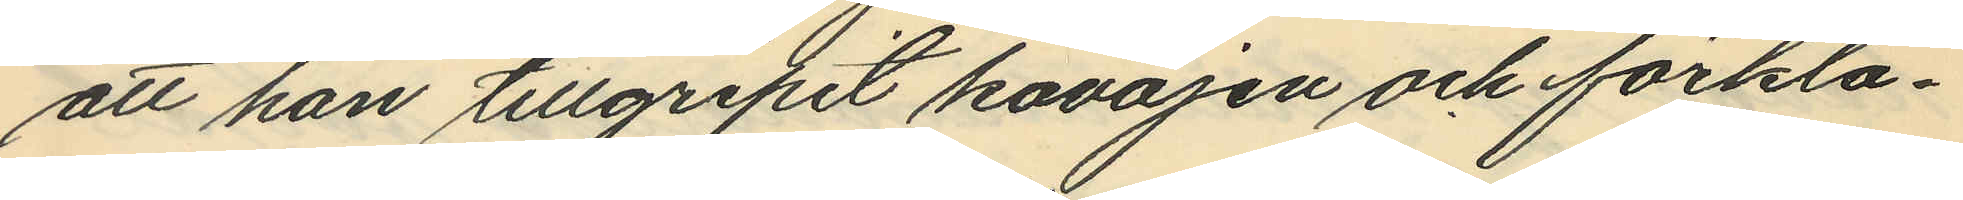att han tillgripit kavajen och förkla¬
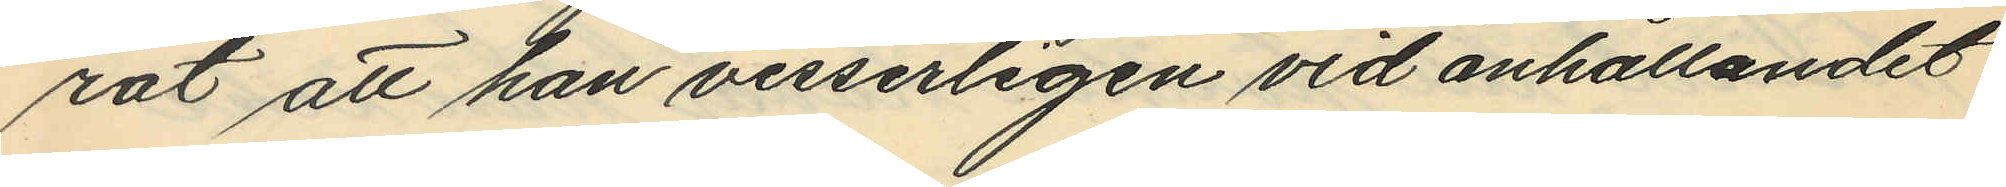rat att han visserligen vid anhållandet
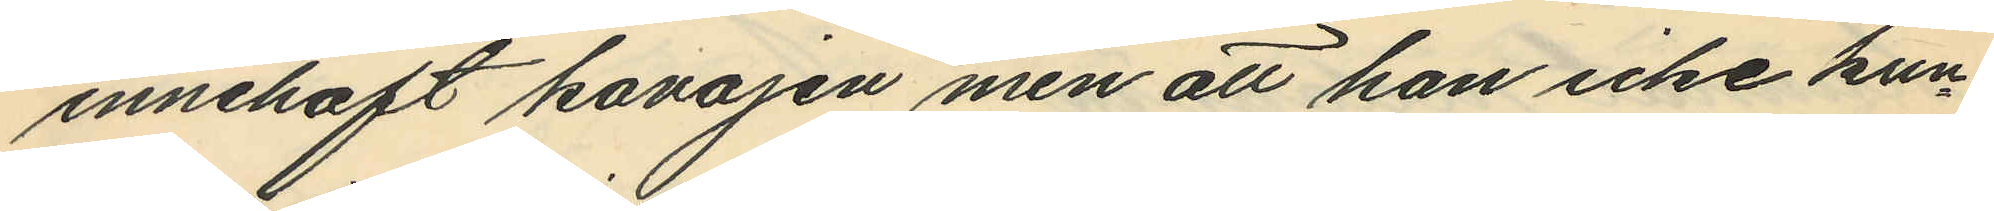innehaft kavajen men att han icke kun¬
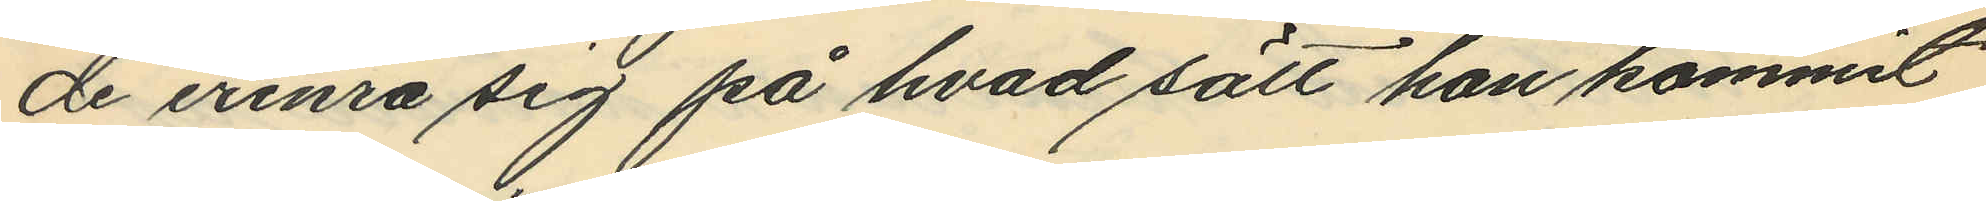de erinra sig på hvad sätt han kommit
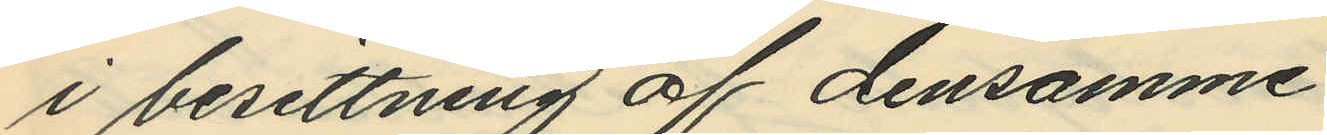i besittning af densamme.
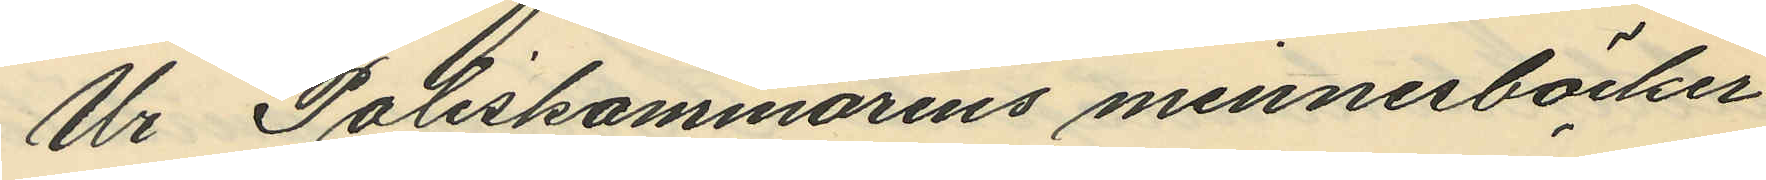Ur Poliskammarens minnesböcker
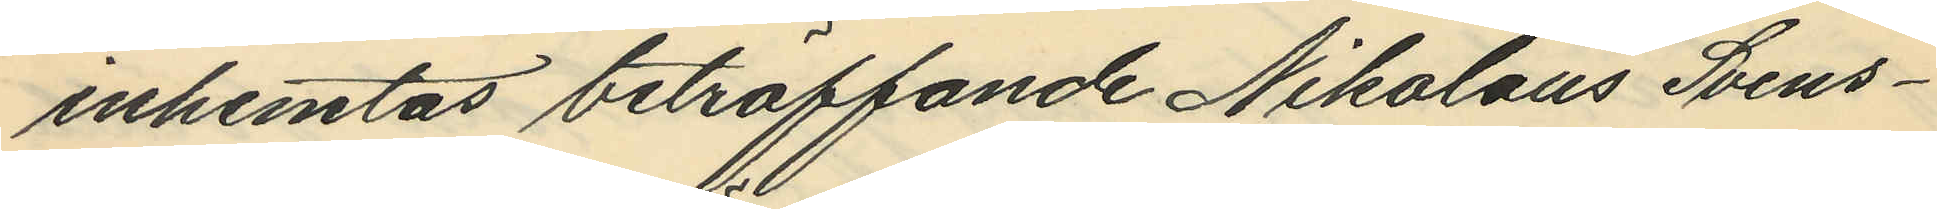inhemtas beträffande Nikolaus Svens¬
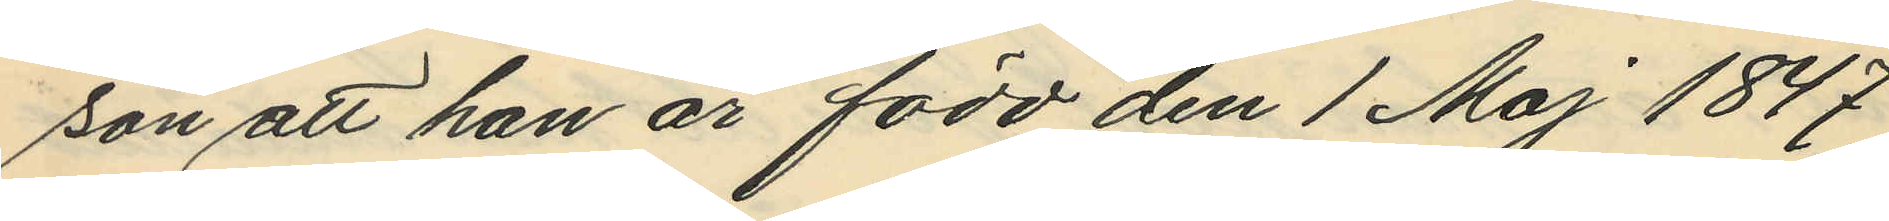son att han är född den 1 Maj 1847
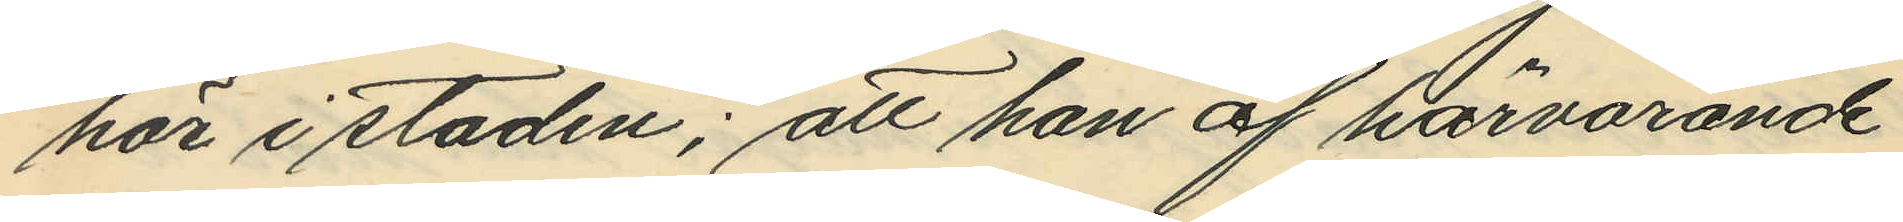här i staden; att han af härvarande
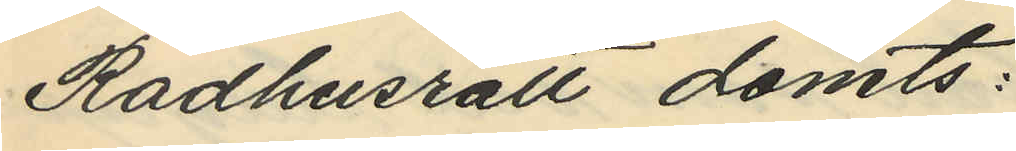Rådhusrätt dömts:
